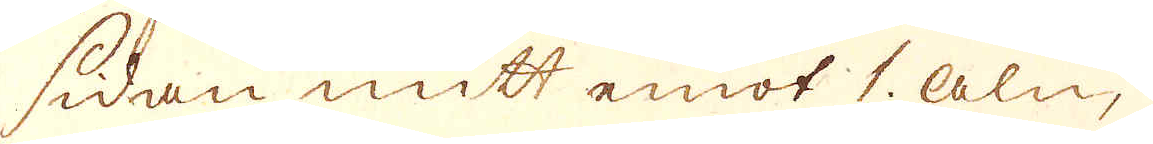sidan mitt emot 1. aln,
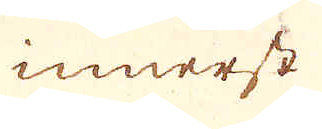innerst
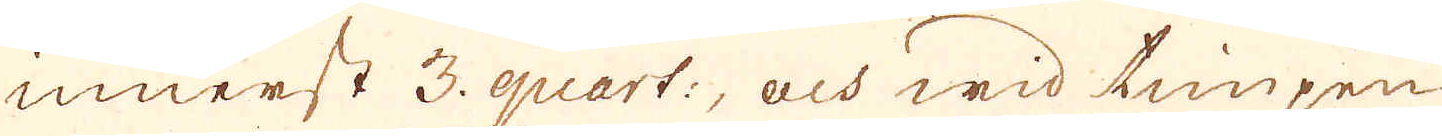innerst 3. quart:, och wid timpen
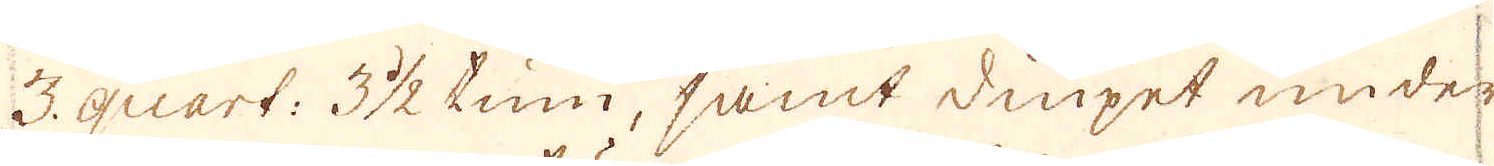3. quart: 3 1/2 tum, samt diupet under
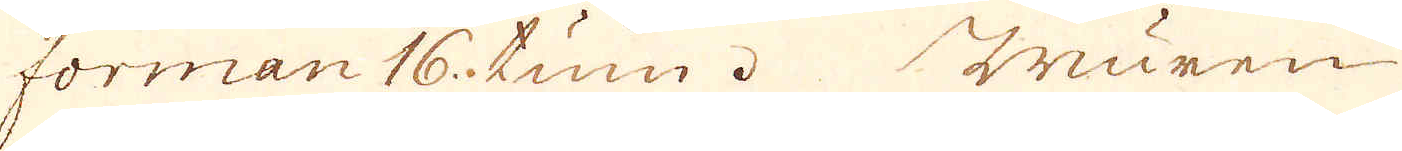forman 16. tum. Muren
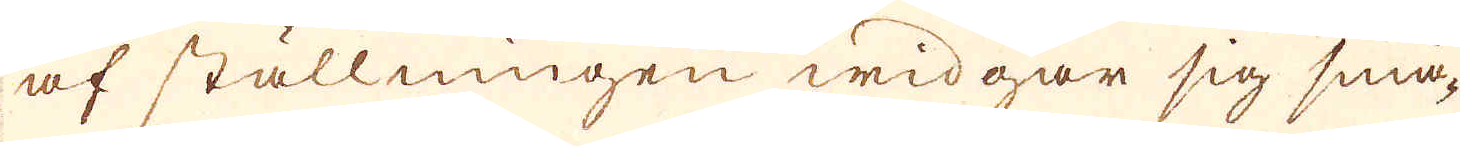af ställningen widgar sig små-
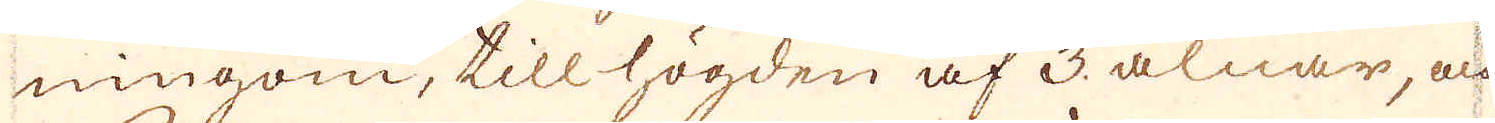ningom, till högden af 3. alnar, och
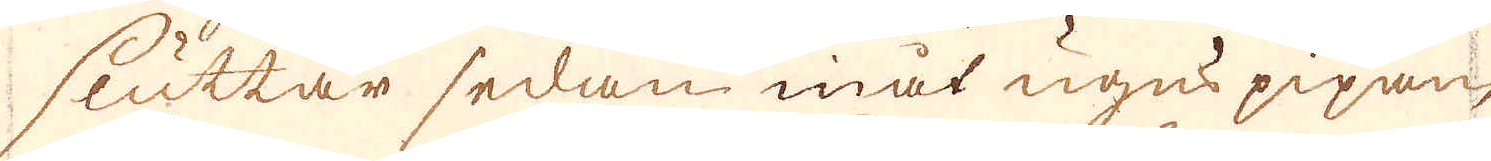sluttar sedan inåt ugns pipan,
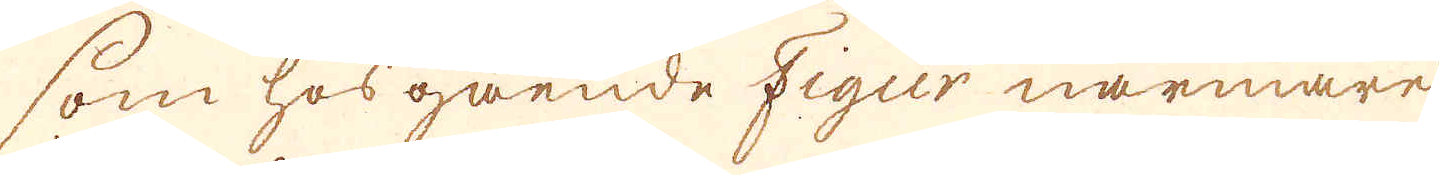som hosgående Figur närmare
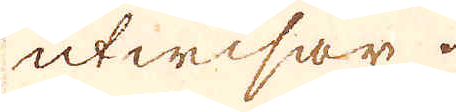utwisar.
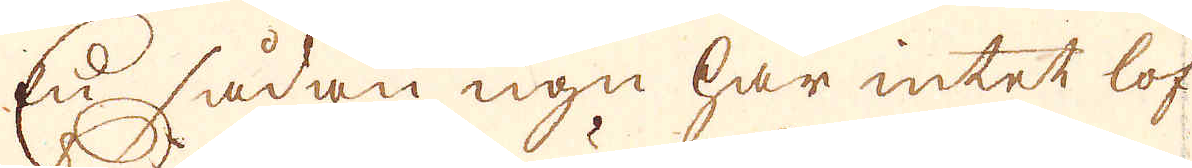En sådan ugn har intet lof
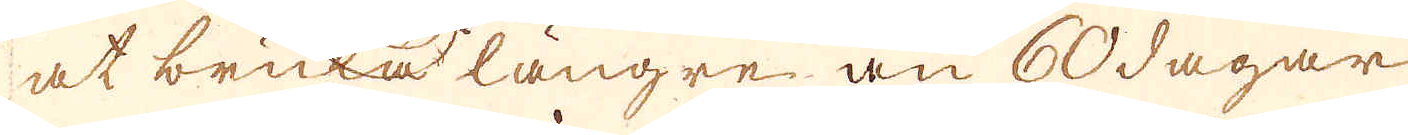at brukas längre än 60 dagar
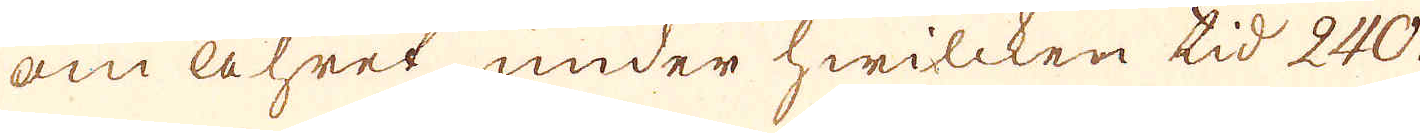om åhret under hwilcken tid 240.
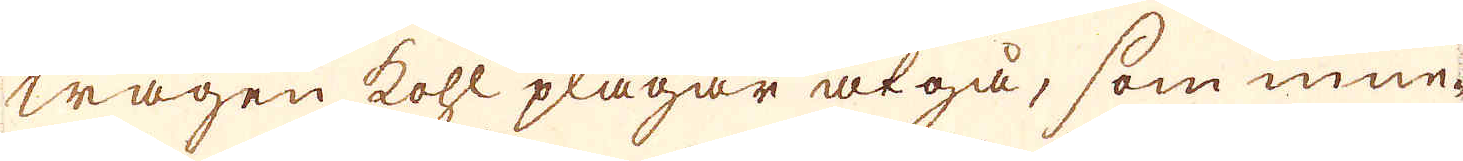wagen kohl plägar åtgå, som inne-
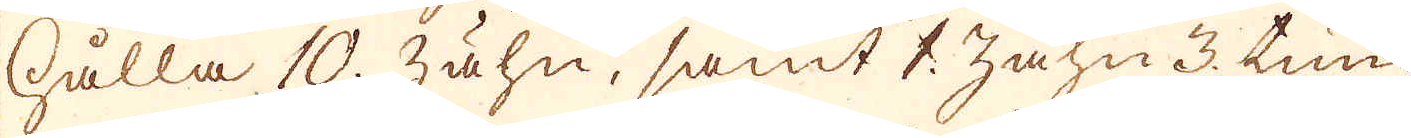hålla 10. zähn, samt 1 zähn 3. tum
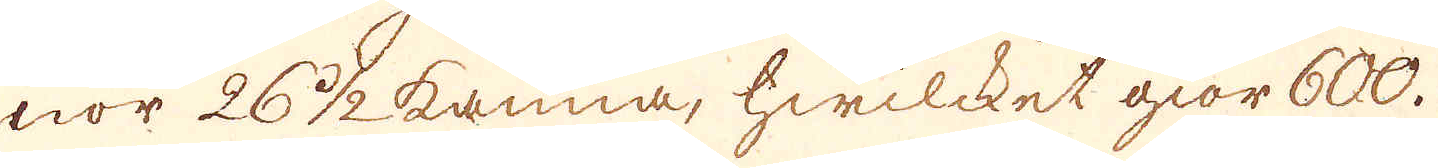nor 26 1/2 kanna, hwilcket giör 600.
